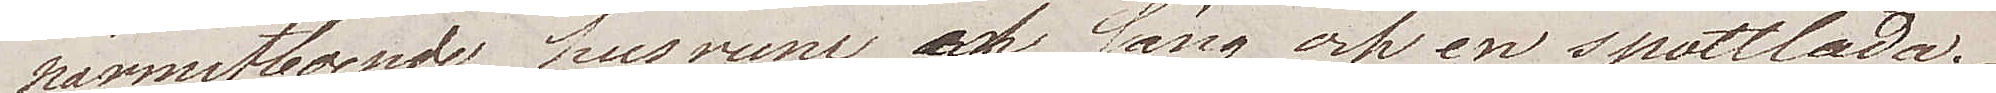närmastboende husrum, säng och en spottlåda.
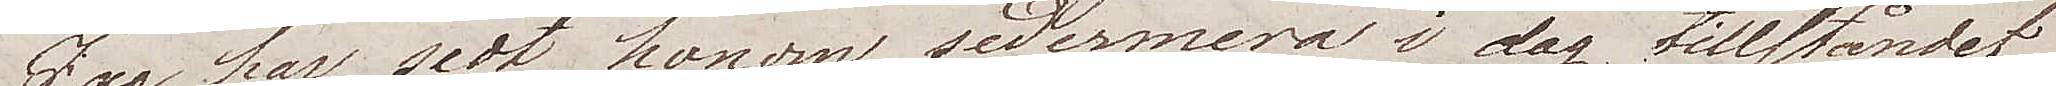Jag har sedt honom sedermera i dag tillståndet
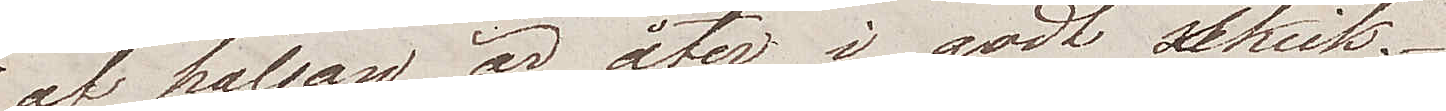af hälsan är åter i godt skick.
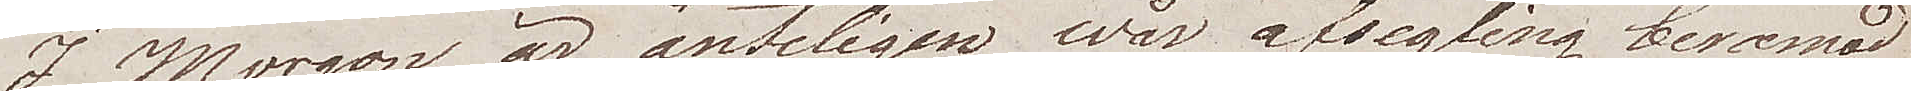I Morgon är änteligen wår afsegling beramad
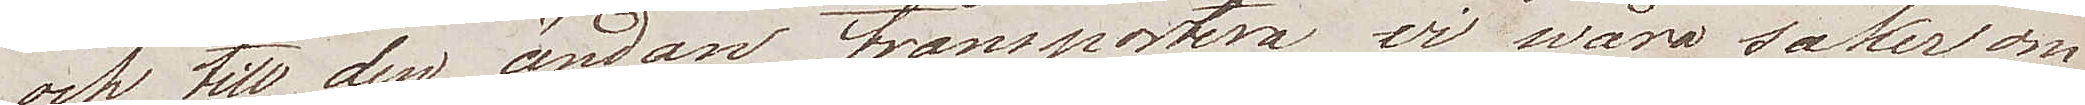och till den ändan transportera wi wåra saker om¬
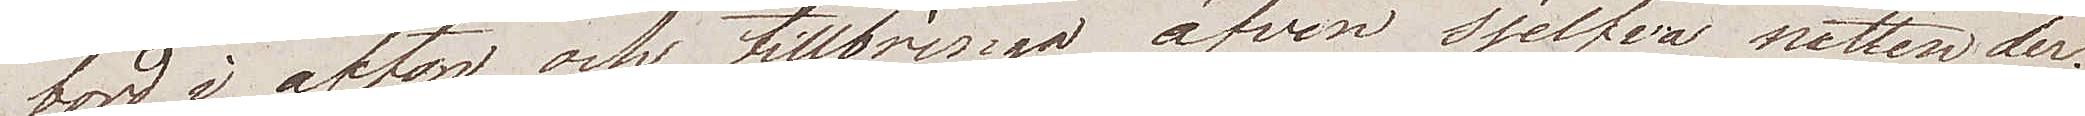bord i afton och tillbringa äfven sjelfva natten der.
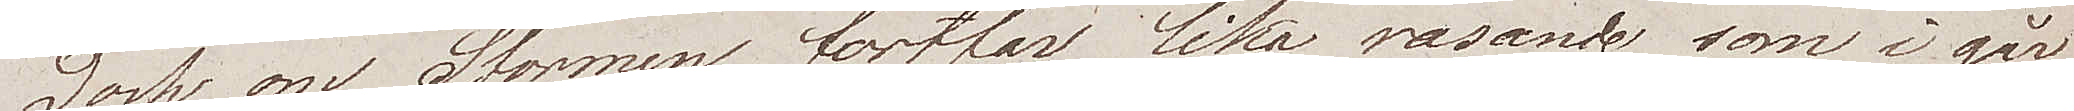Dock om Stormen fortfar lika rasande som i går
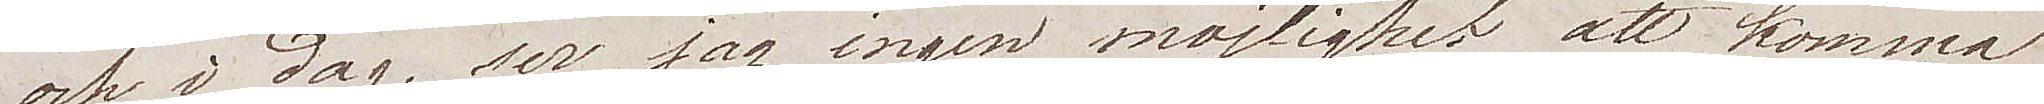och i dag, ser jag ingen möjlighet att komma
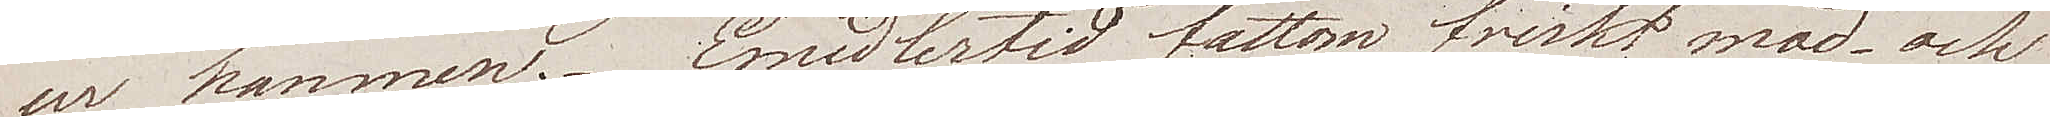ur hamnen. Emedlertid fattom friskt mod och
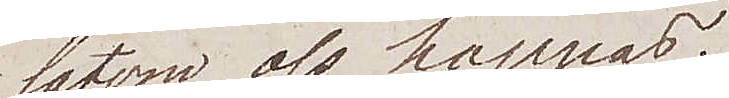låtom oss hoppas.
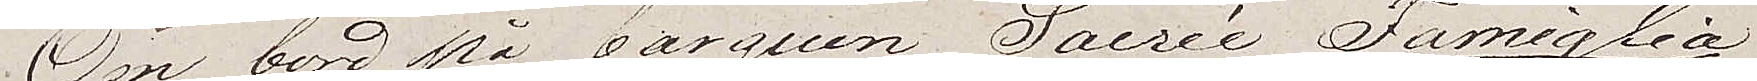Om bord på barquen Sacrée Famiglia
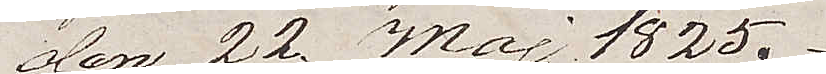den 22 Maj 1825.
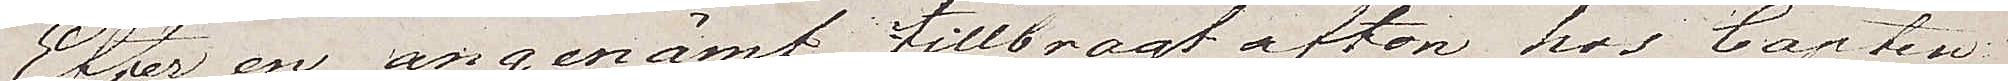Efter en angenämt tillbragt afton hos Capten
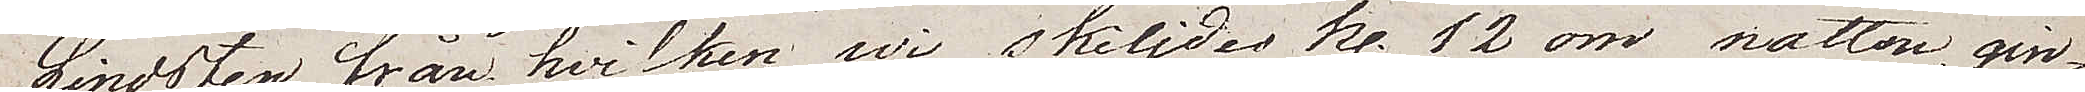Lindsten, från hvilken wi skiljdes kl. 12 om natten, gin¬
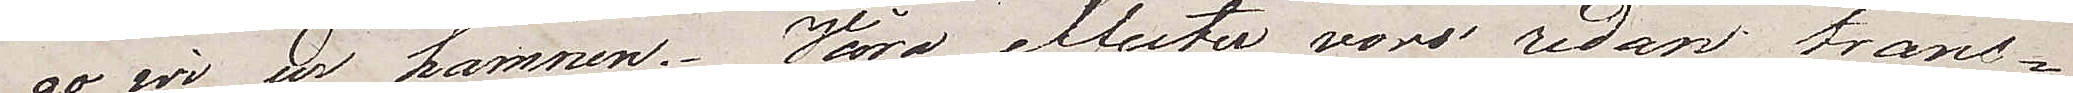go wi ur hamnen. Våra effekter voro redan trans¬
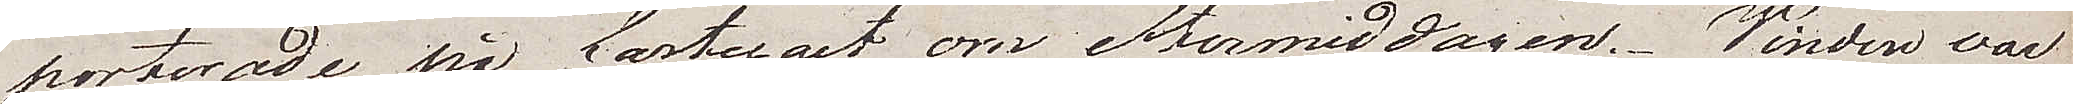porterade på fartyget om eftermiddagen. Vinden war
